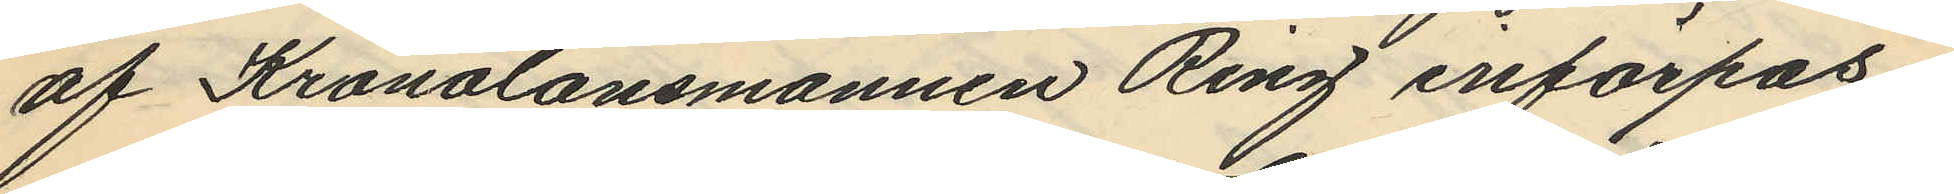af Kronolänsmannen Ring införpas¬
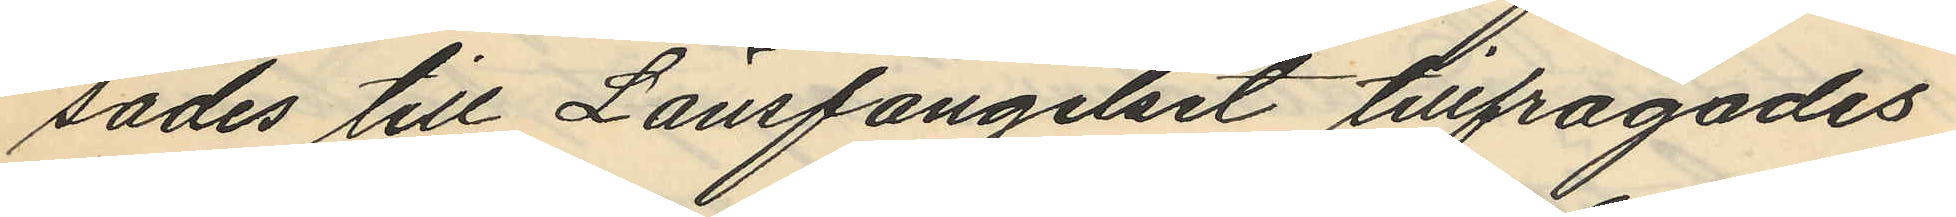sades till Länsfängelset tillfrågades
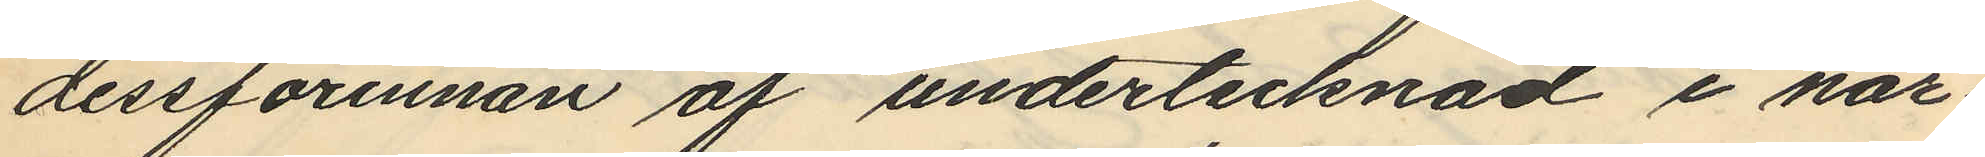dessförinnan af undertecknad i när¬
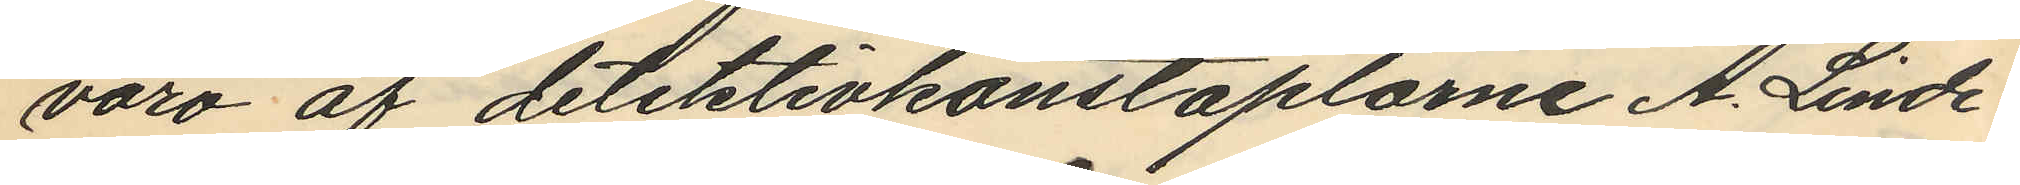varo af detektivkonstaplarne A. Linde¬
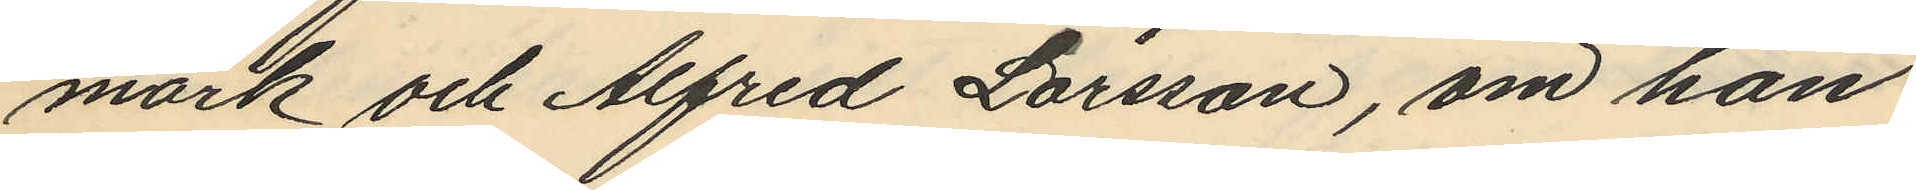mark och Alfred Larsson, om han
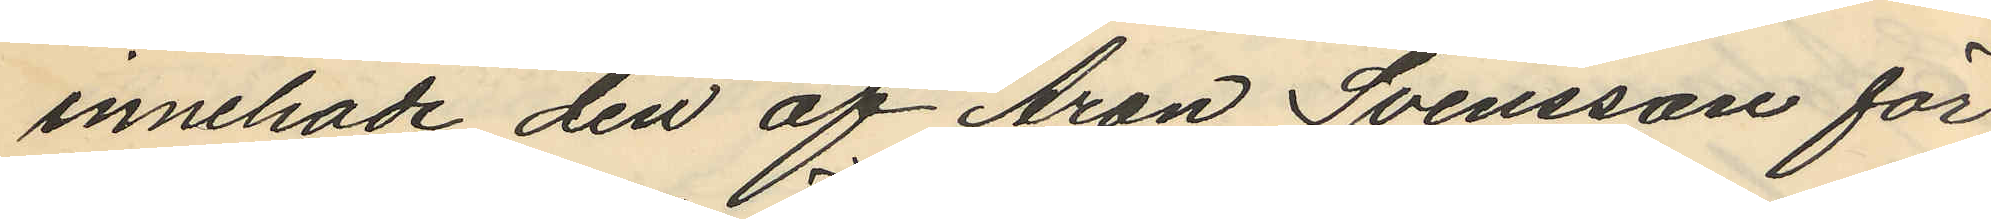innehade den af Aron Svensson för
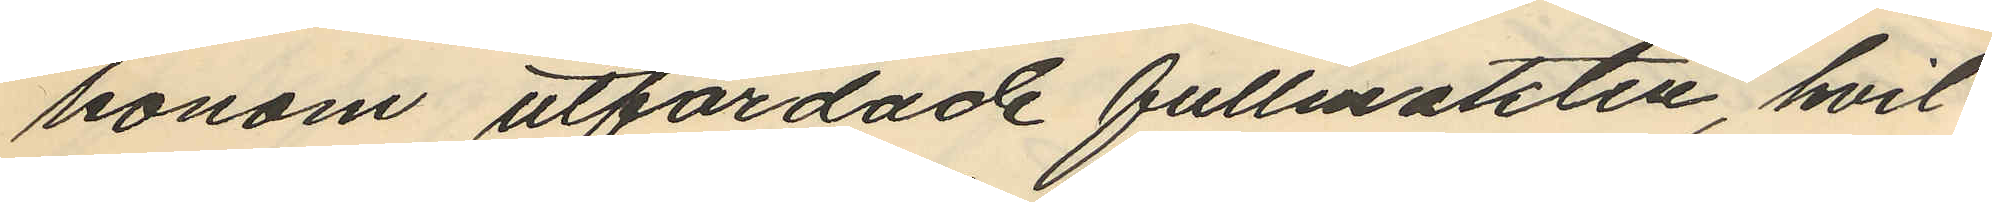honom utfärdade fullmakten, hvil¬
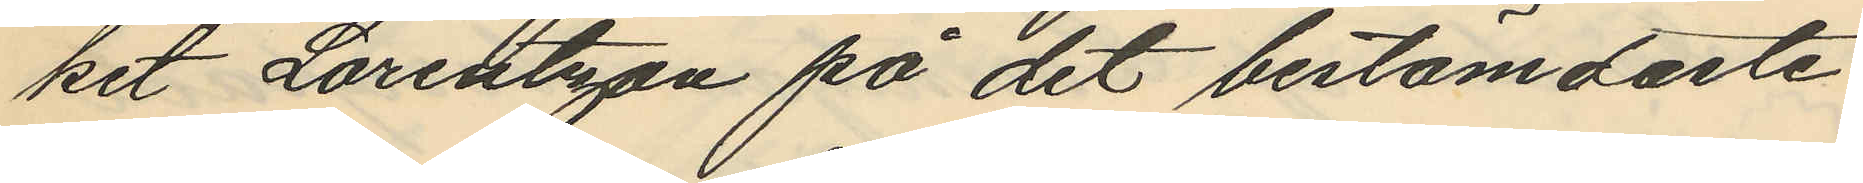ket Lorentzon på det bestämdaste
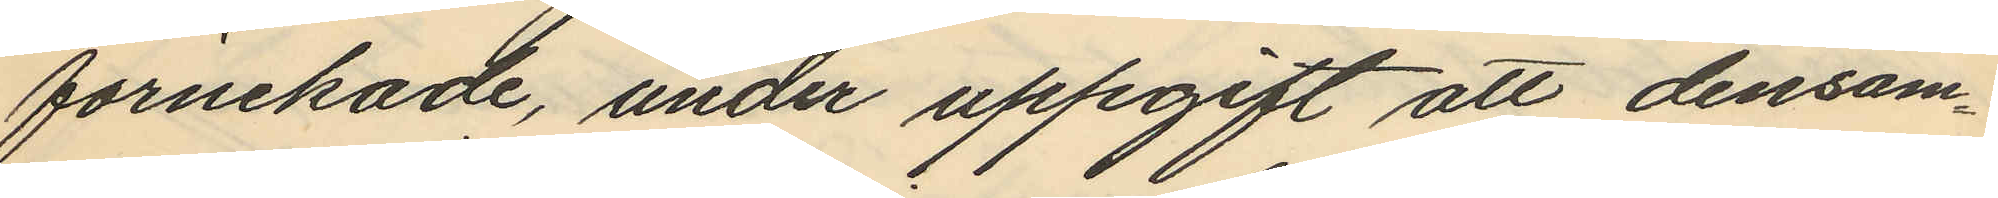förnekade, under uppgift att densam¬
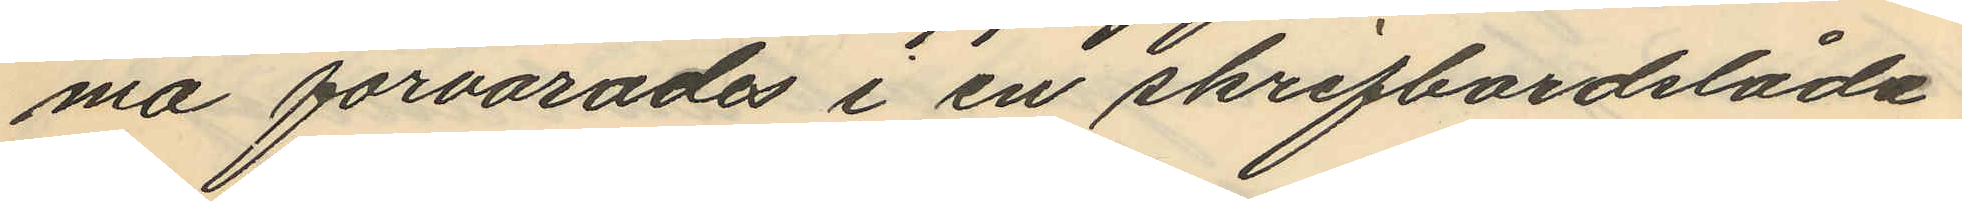ma förvarades i en skrifbordslåda
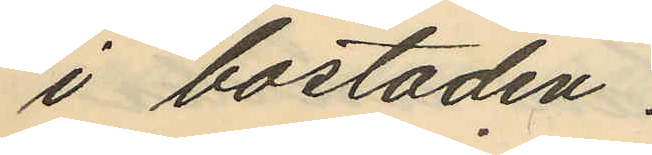i bostaden.
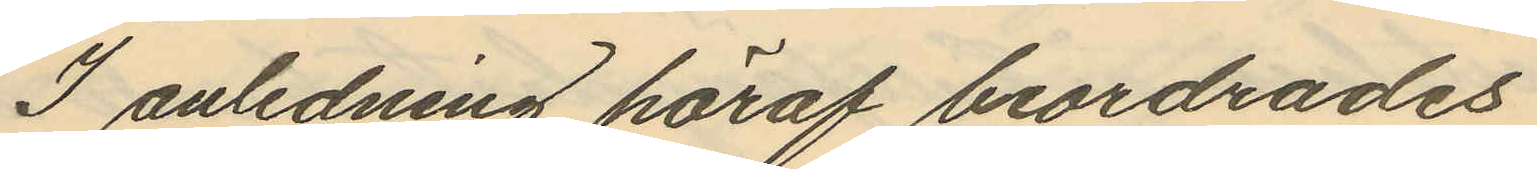I anledning häraf beordrades
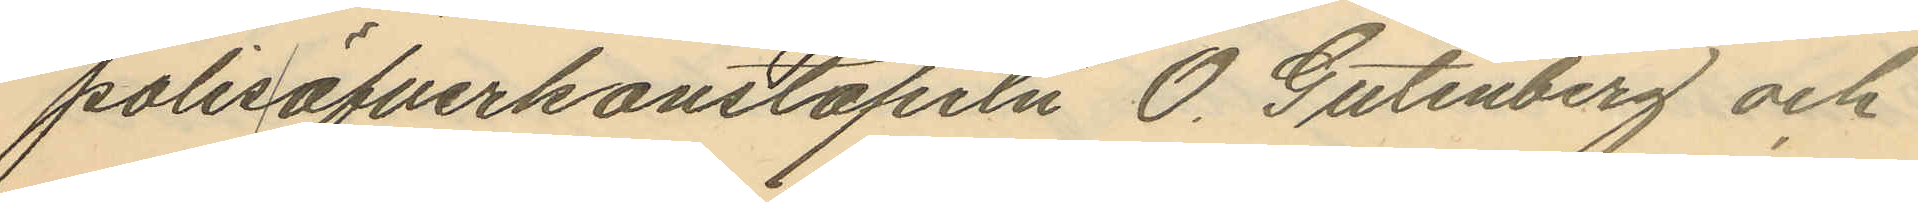polisöfverkonstapeln O. Gutenberg och
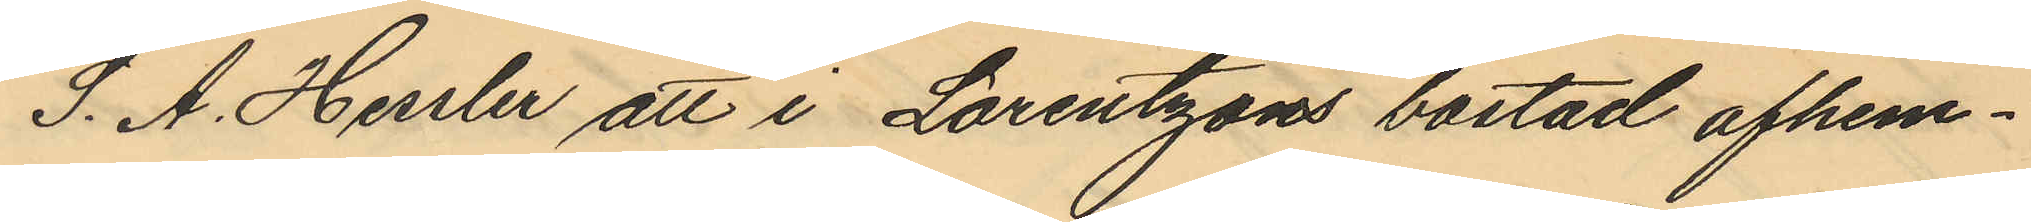S. A. Hessler att i Lorentzons bostad afhem¬
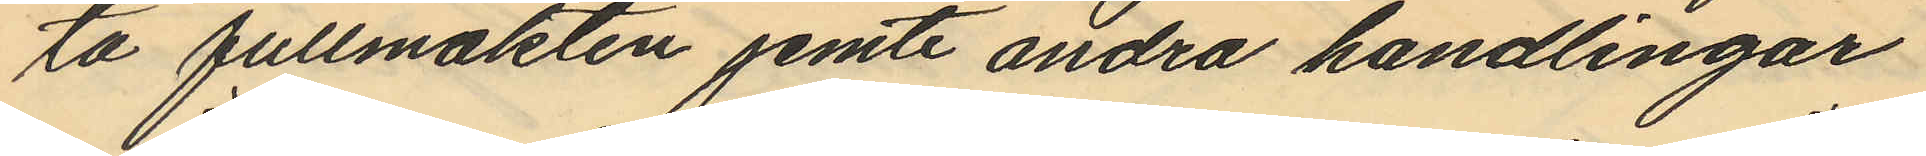ta fullmakten jemte andra handlingar
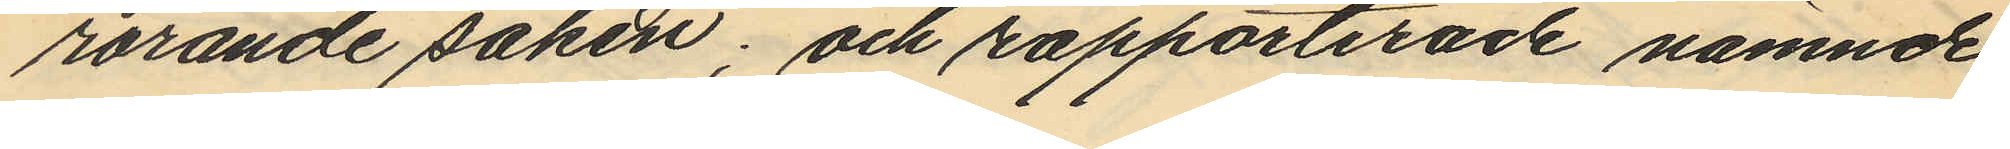rörande saken; och rapporterade nämnde
